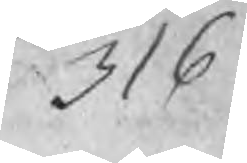316
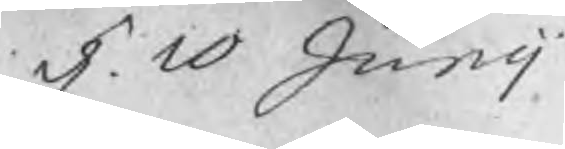d. 10 Junij
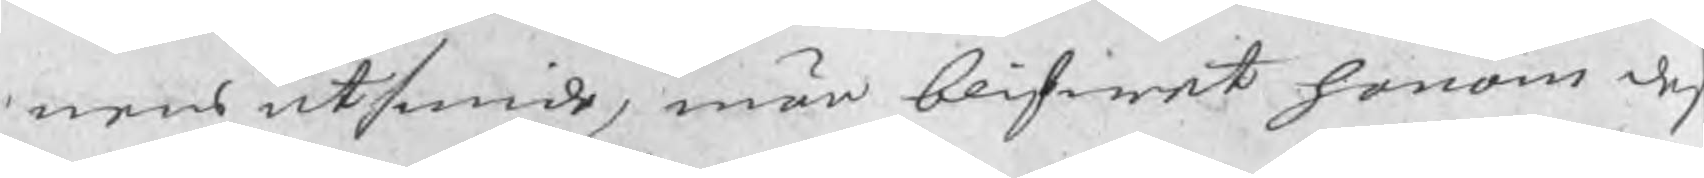nens utsmide, män blifwet honom des
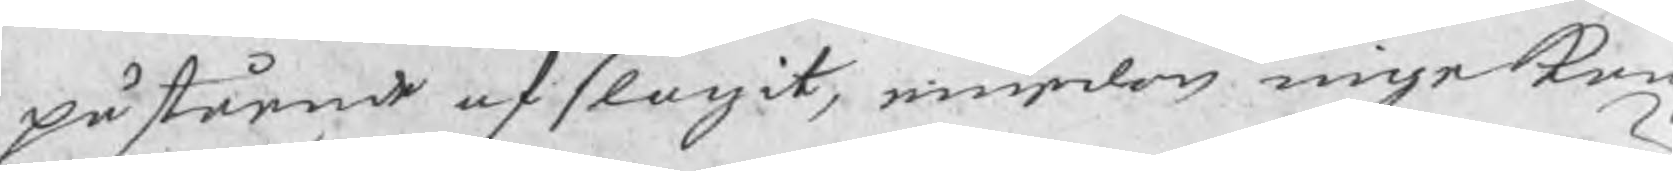påstående afslagit, emedan inge Kun
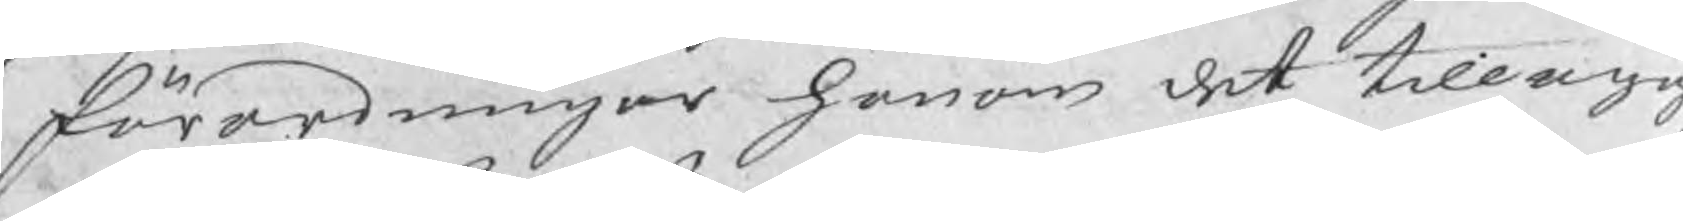förordningar honom det tillägg
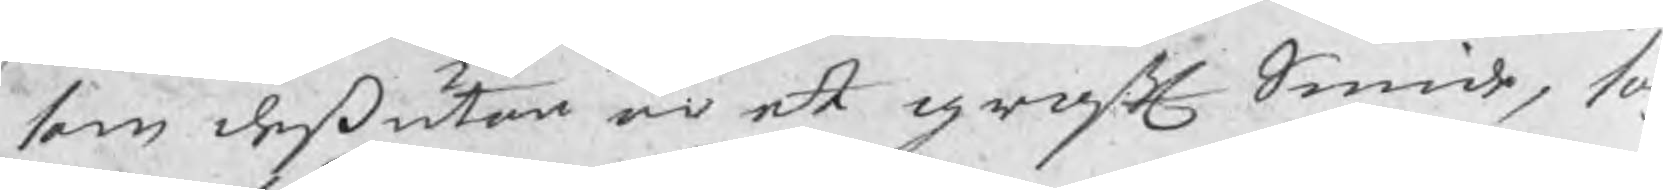som dessutan är ett groft Smide, som
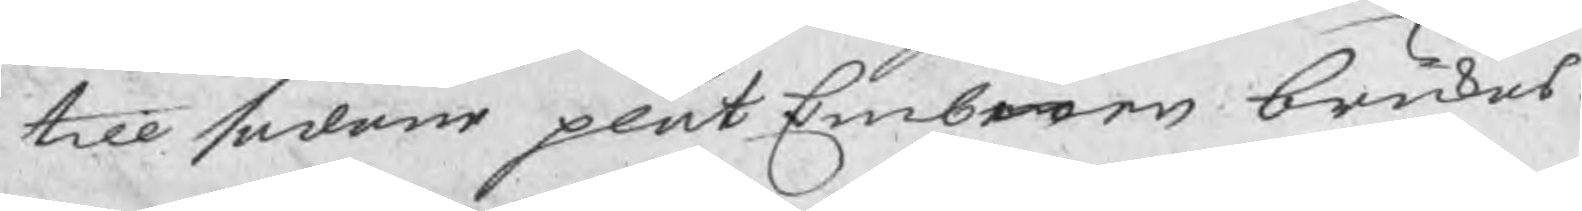till sådane plåtEmbnen brukas.
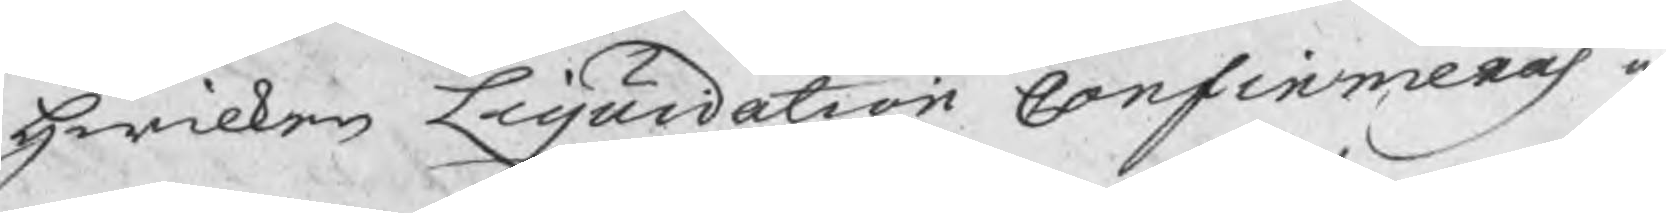hwilken Liquidation Confirmeras a
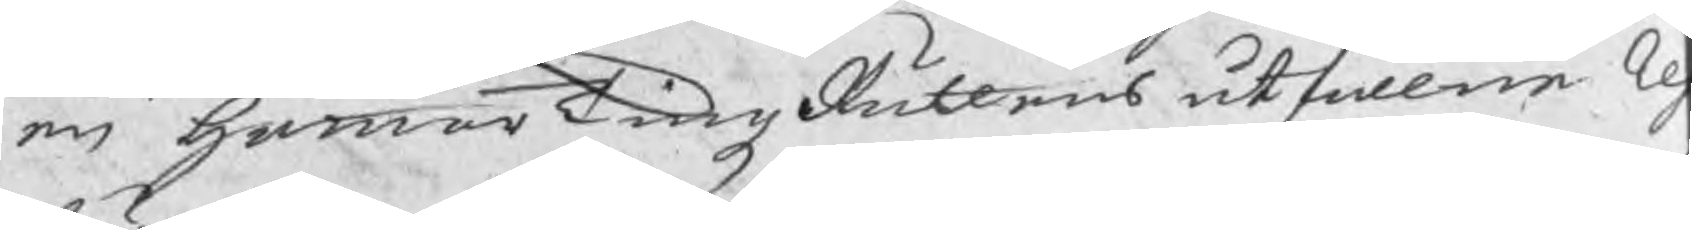en hammarTingzRättens utfallne Re
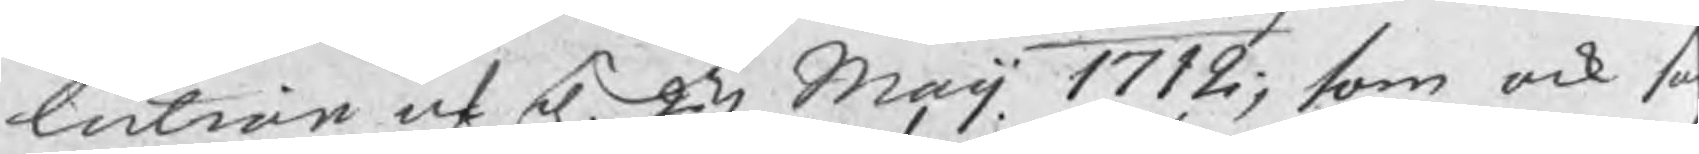lution af d. 23 Maij 1712; som ock s
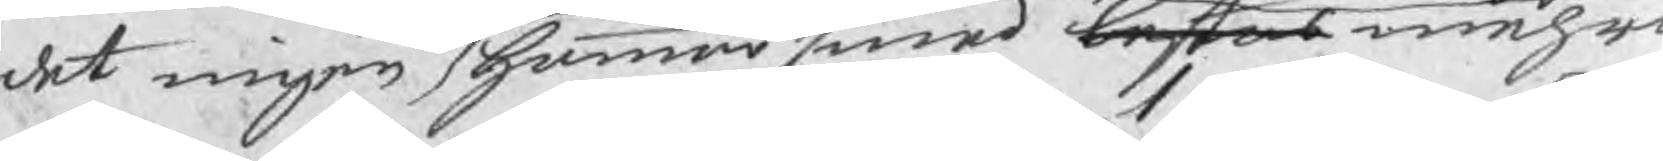det ingen hammarsmed bestås mehra
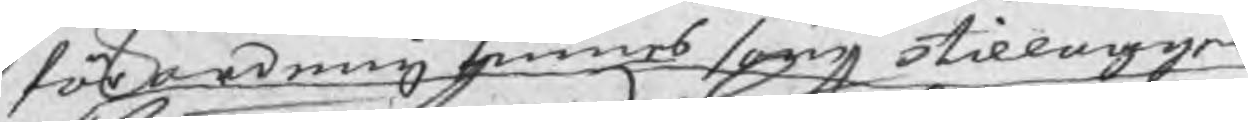förordning finnes som tillagger
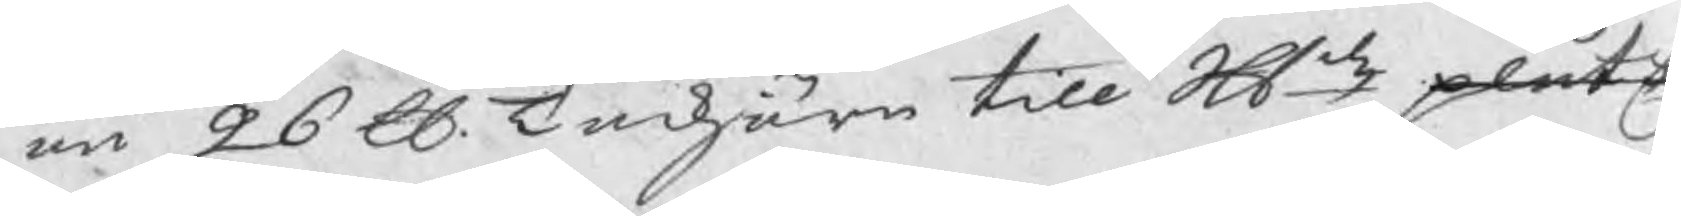än 26 ℔ Tackjärn till Skld plåtE
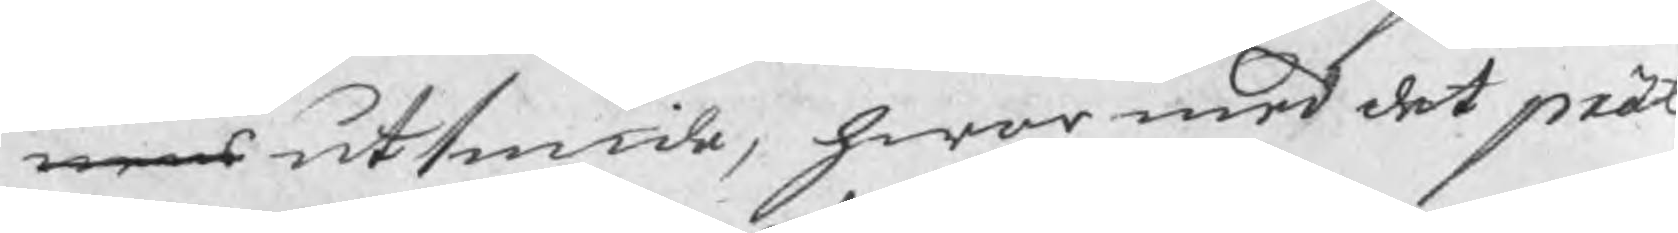nens utsmide, hwar med det prät
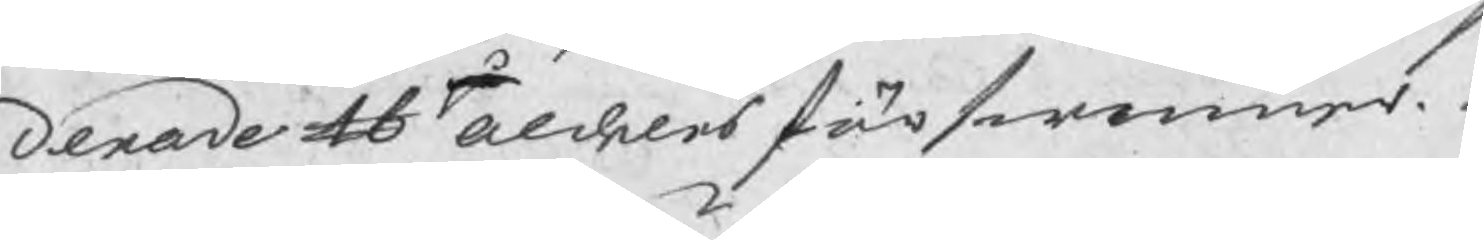derade lb aldeles förswinner.
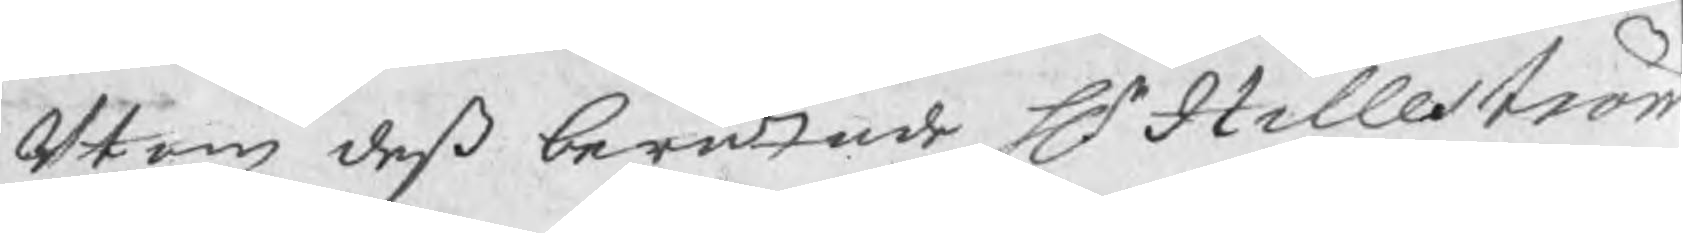Utom deß berättade Hr Hilleström 
